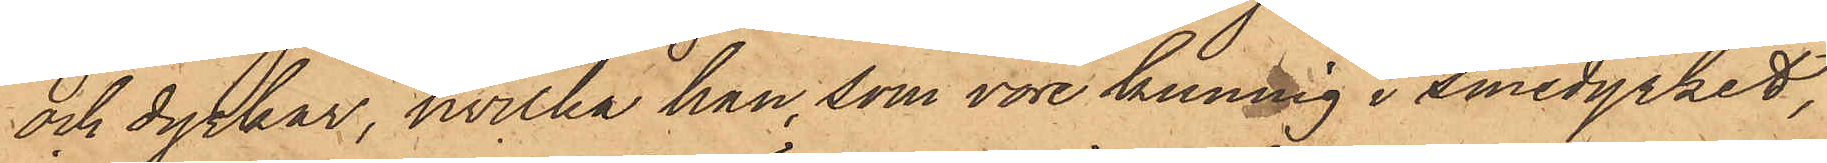och dyrkar, hvilka han, som vore kunnig i Smedyrket,
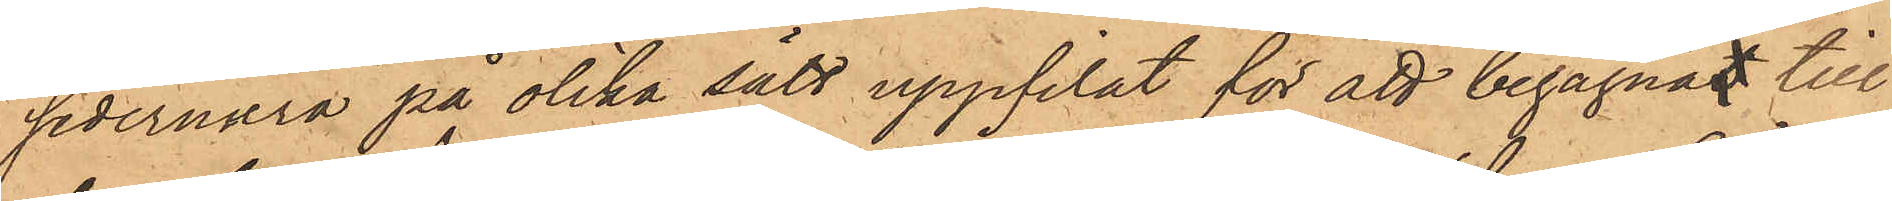sedermera på olika sätt uppfilat för att begagnat till
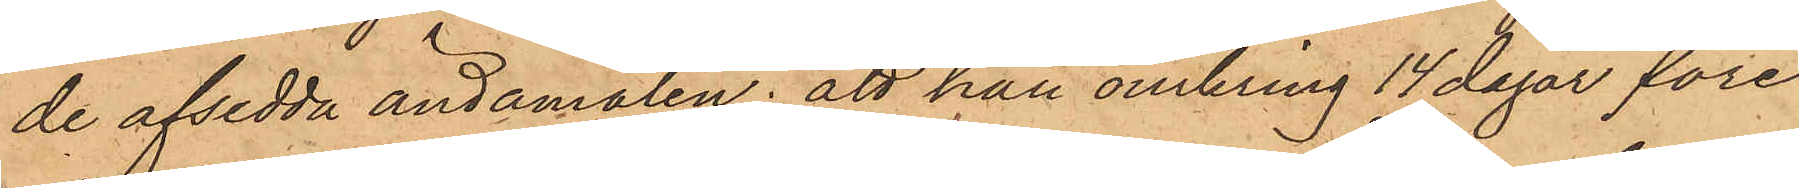de afsedda ändamålen; att han omkring 14 dagar före
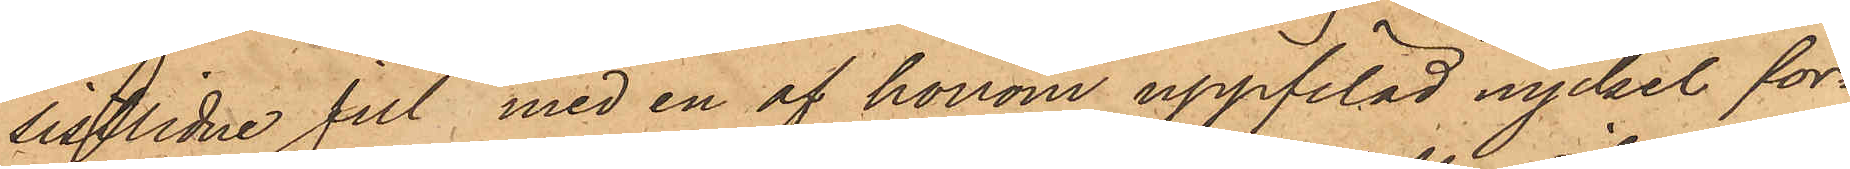sistlidne jul med en af honom uppfilad nyckel för¬
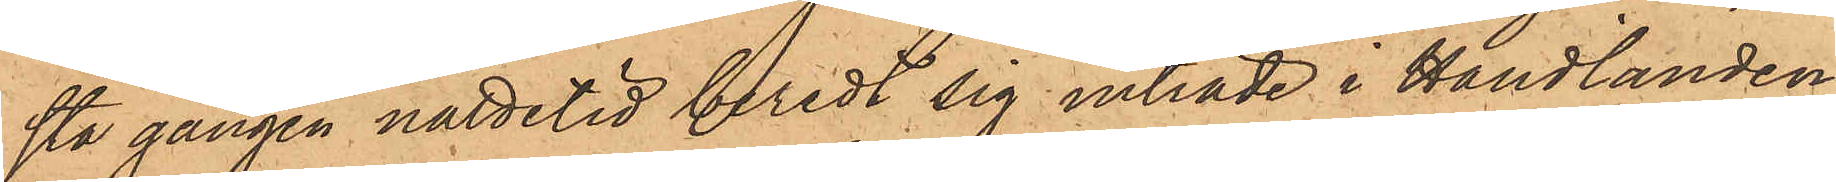sta gången nattetid beredt sig inträde i Handlanden
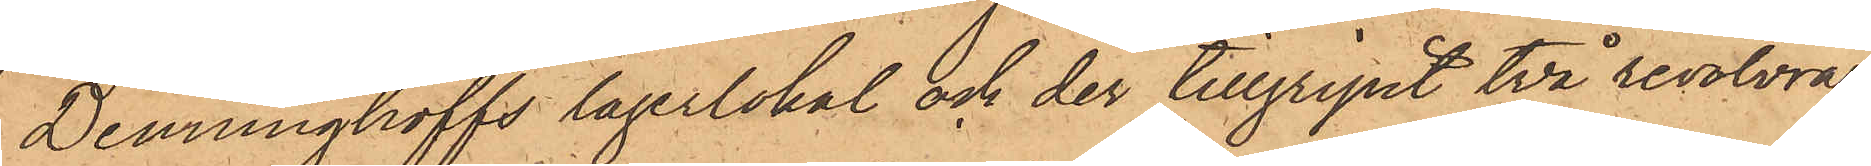Denninghoffs lagerlokal och der tillgripit två revolvrar
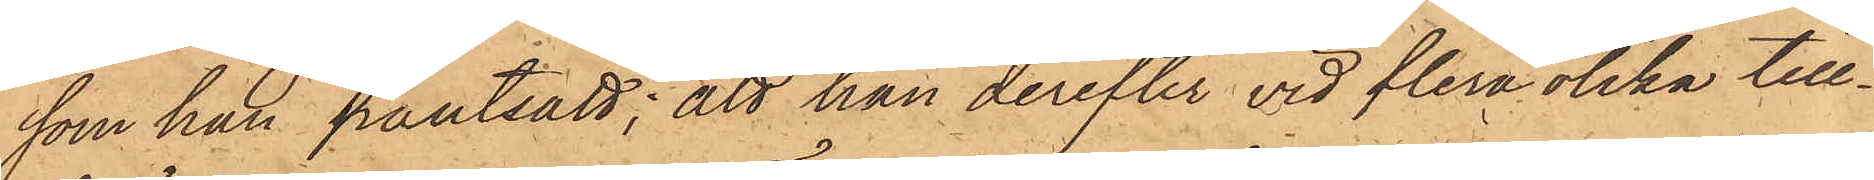som han pantsatt; att han derefter vid flera olika till¬
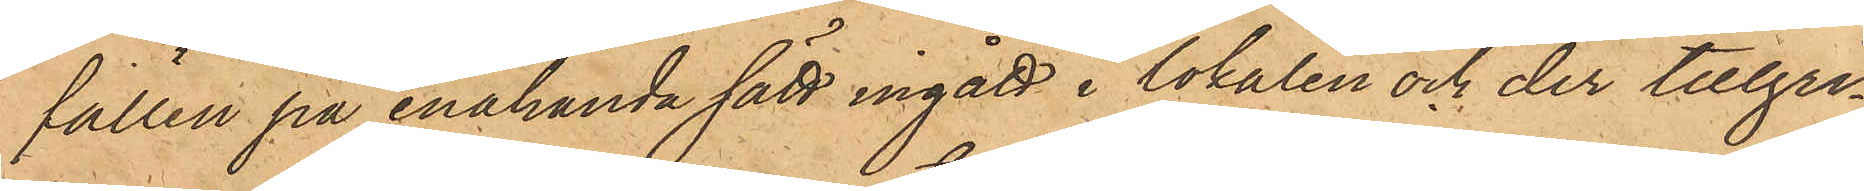fällen på enahanda sätt ingått i lokalen och der tillgri¬
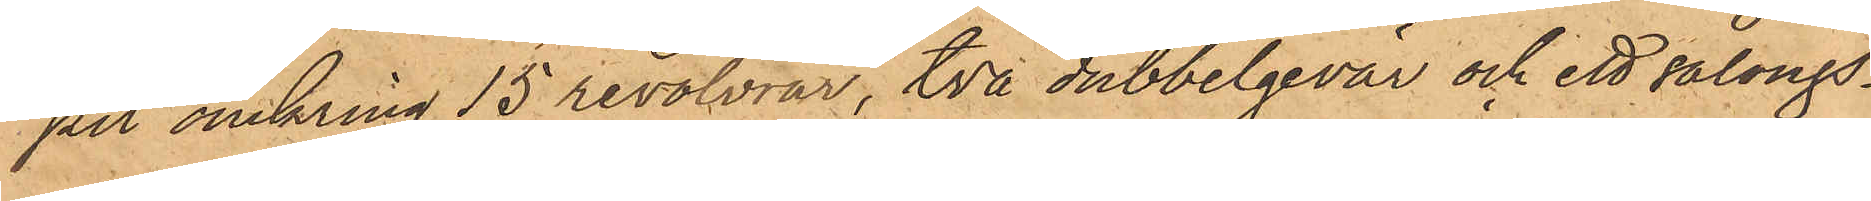pet omkring 15 revolvrar, två dubbelgevär och ett salongs¬
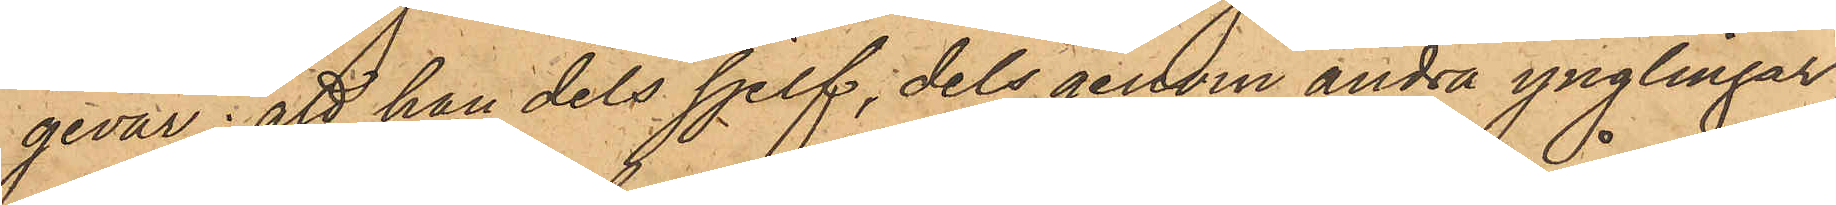gevär; att han dels sjelf, dels genom andra ynglingar,
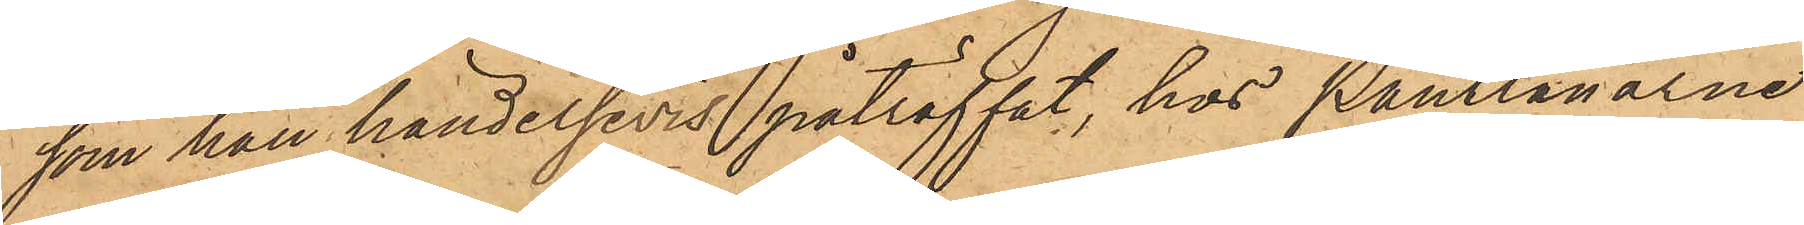som han händelsevis påträffat, hos Pantlånarne
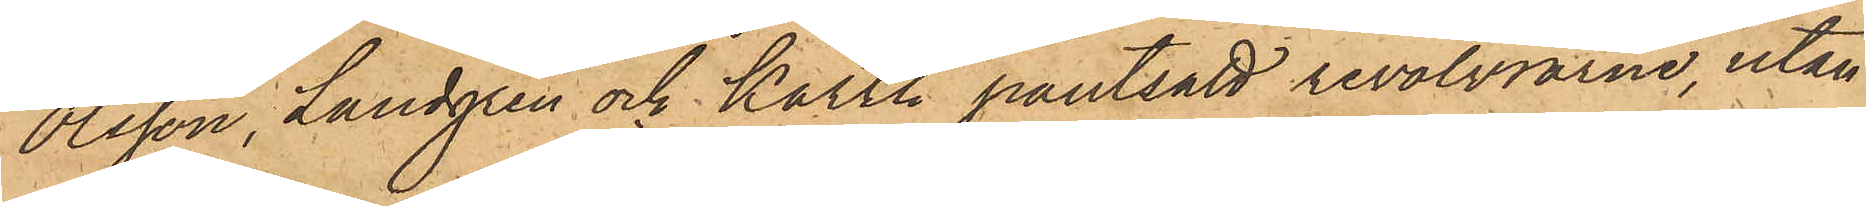Olsson, Lundgren och Karth pantsatt revolvrarne, utan
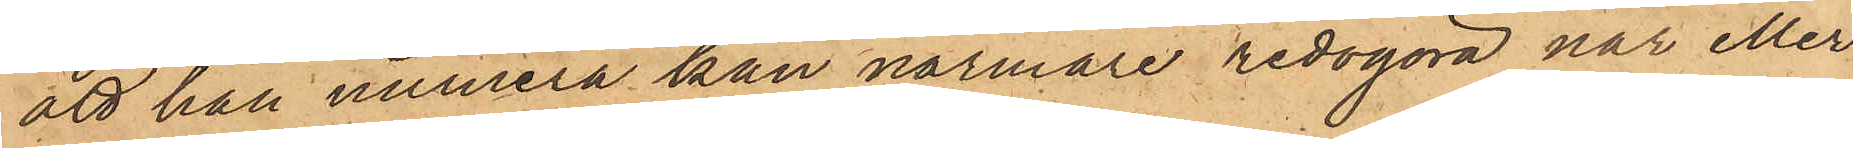att han numera kan närmare redogöra när eller
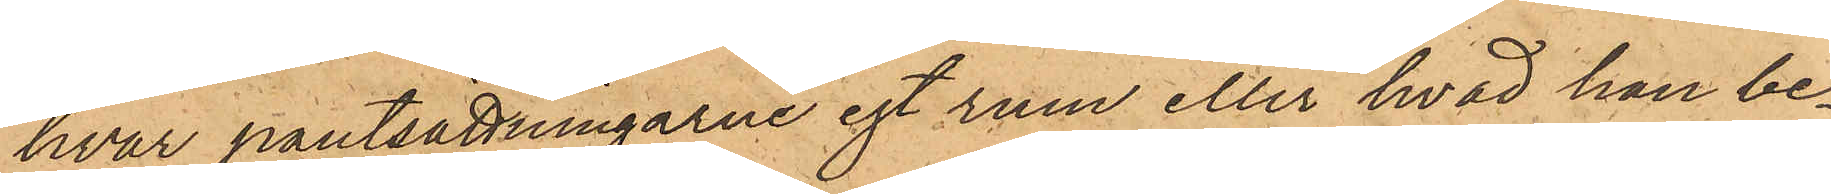hvar pantsättningarne egt rum eller hvad han be¬
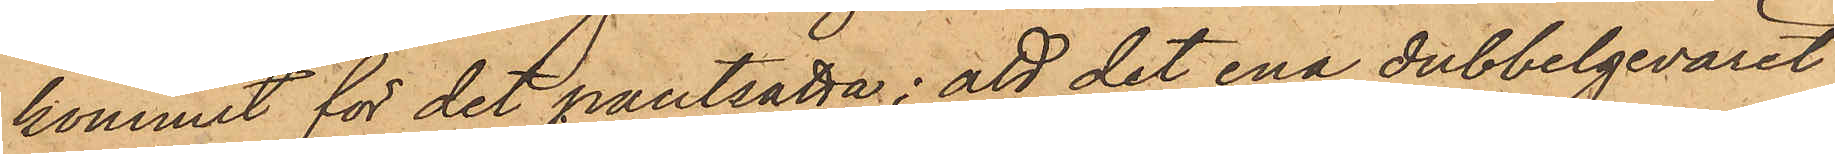kommit för det pantsatta; att det ena dubbelgeväret
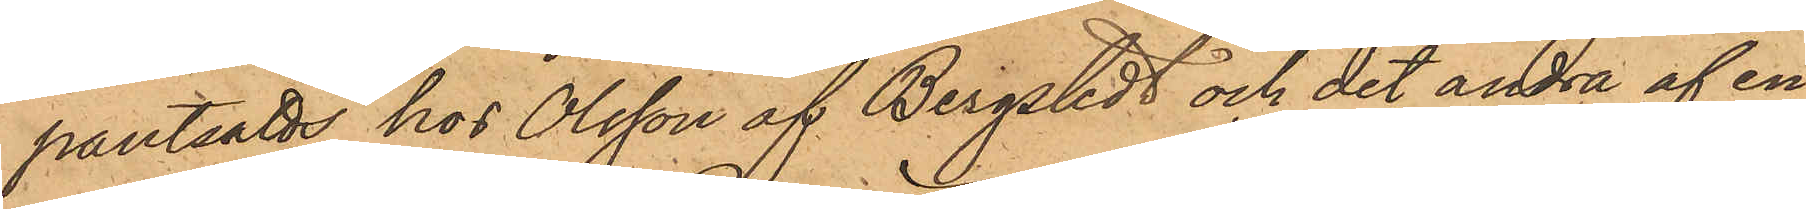pantsatt hos Olsson af Bergstedt och det andra af en
